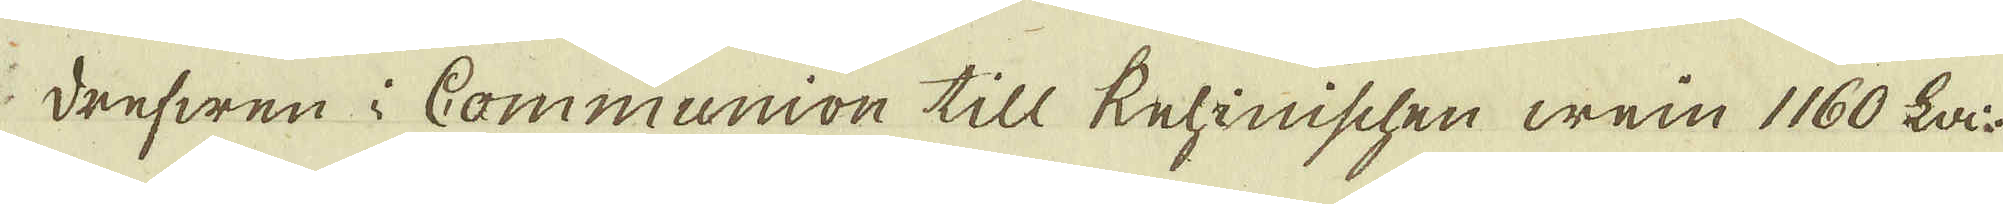i drefwen i Communion till Rehinischen wein 1160 La:.
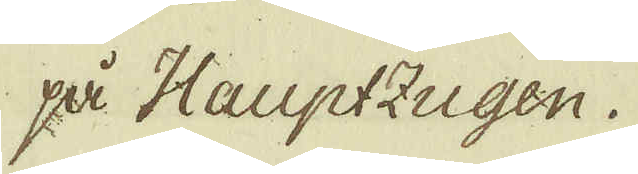på Hauptzugen.
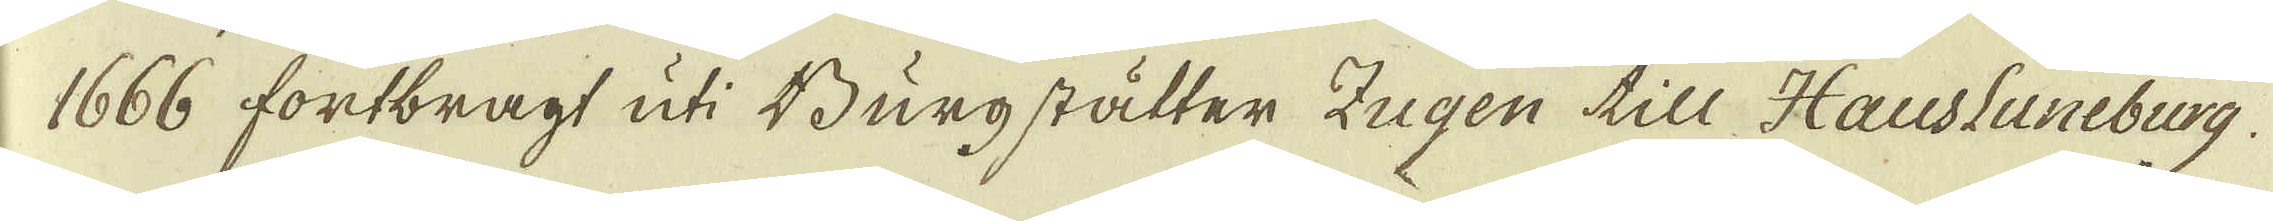1666 fortbragt uti Burgstätter Zugen till Haustuneburg.
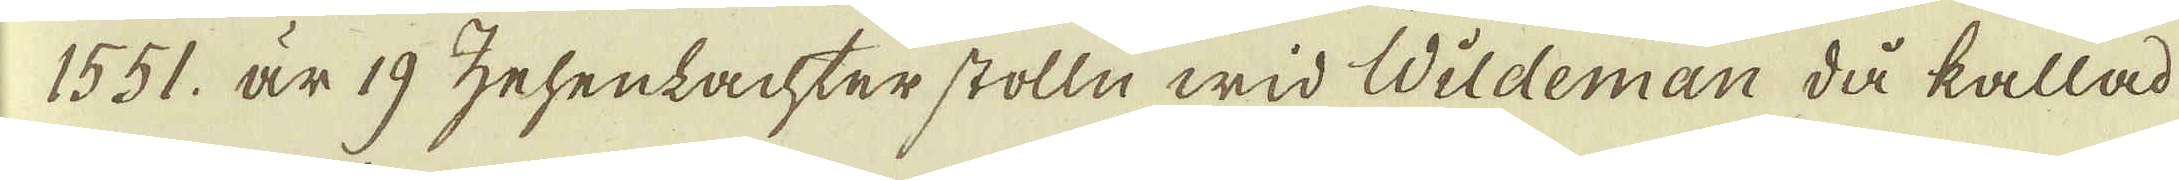1551. är 19 zehenlachter stolln wid Wildeman då kallad
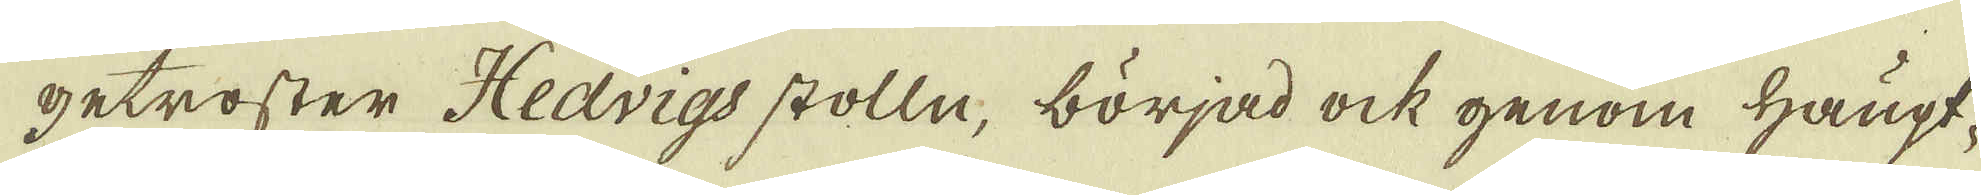getroster Hedvigs stolln, börjad ock genom Haupt-
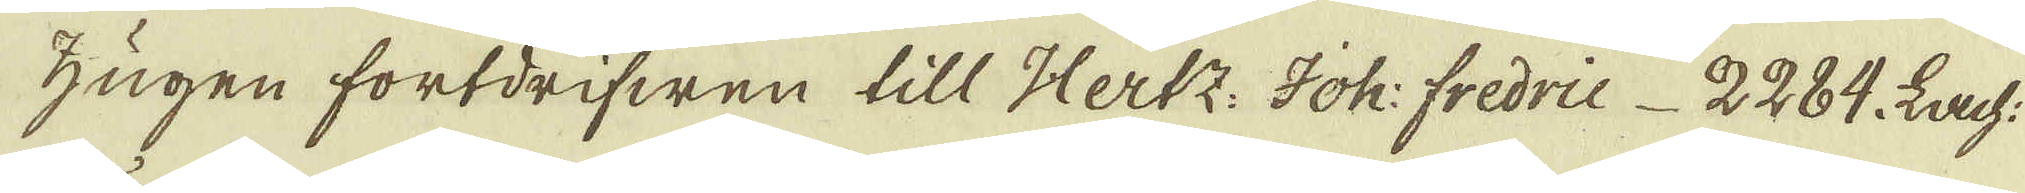Zugen fortdrifwen till Hertz: Joh: fredrie 2284. Lach:
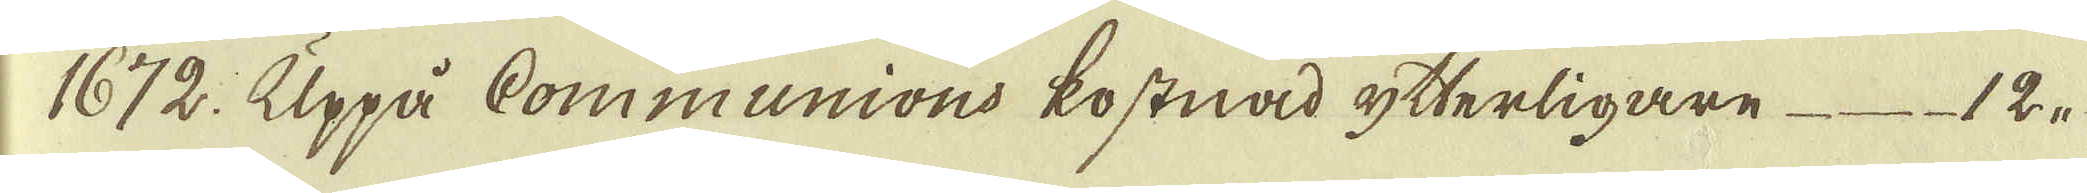1672. Uppå Communions kostnad ytterligare 12,,
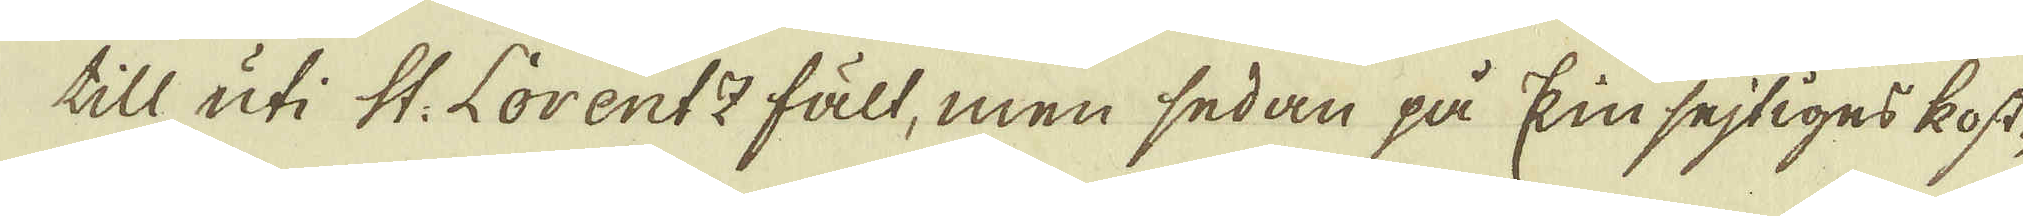till uti St: Lorentz fält, men sedan på kin sejtiges kost-
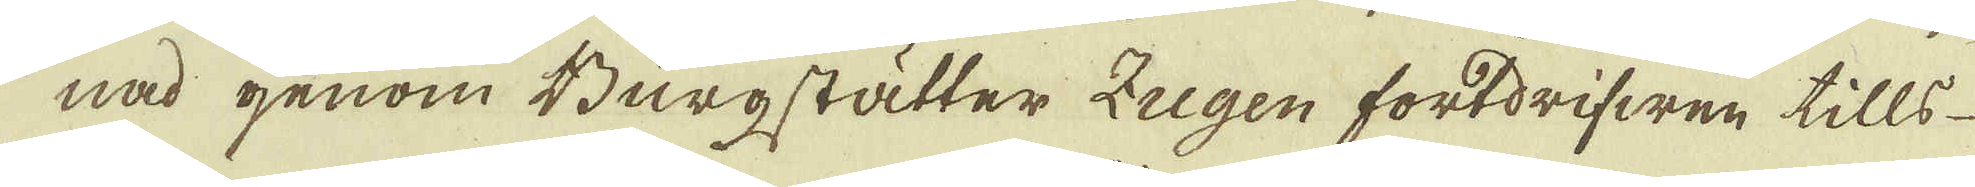nad genom Burgstätter Zugen fortdrifwen tills
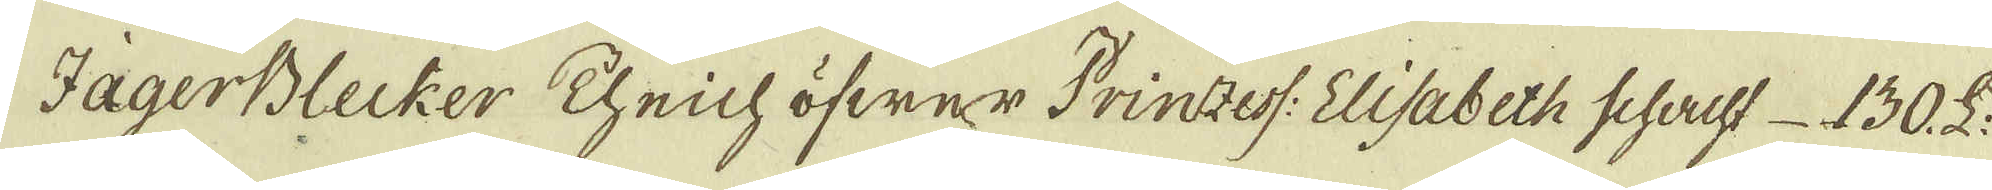JägerBlecker Theich öfwer Prinzess: Elisabeth schacht 130. L:
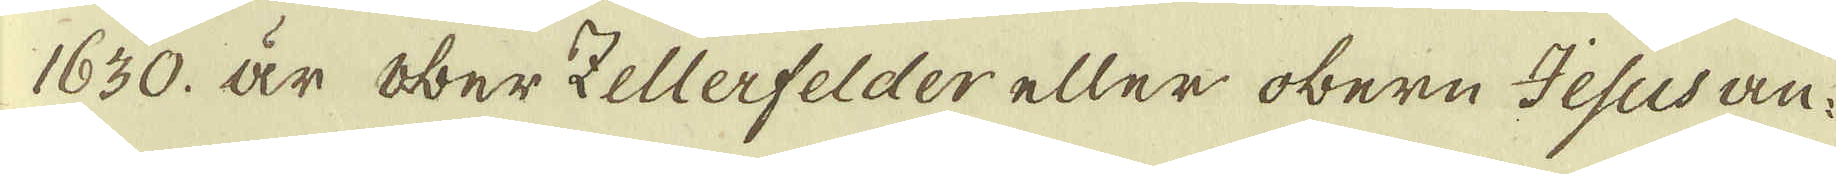1630. är Ober Zellerfelder eller obern Jesus an-
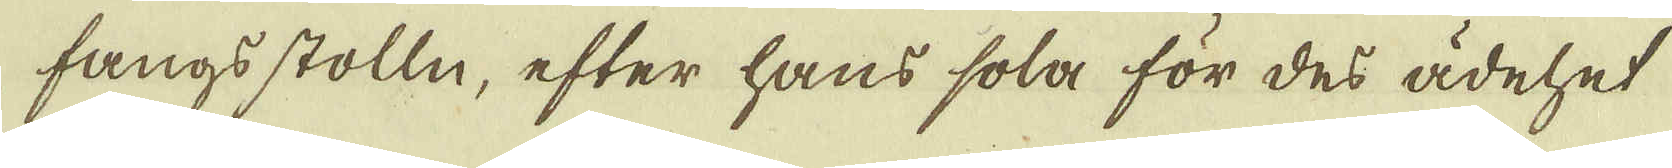fangsstolln, efter hans sola för des ädehet
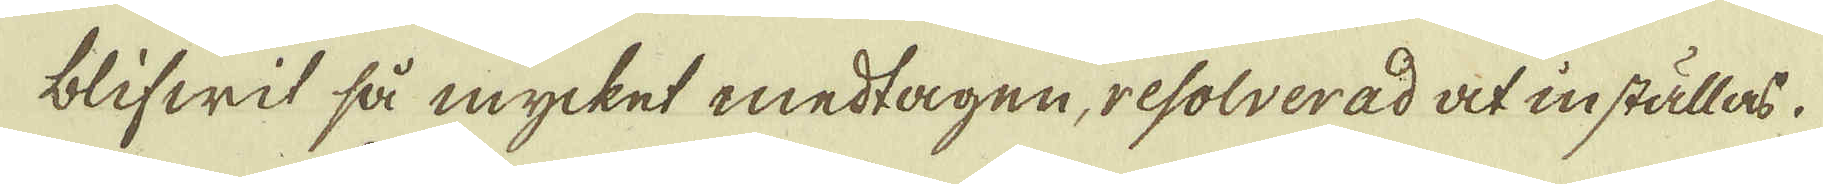blifwit så mycket medtagen, resolverad at inställas.
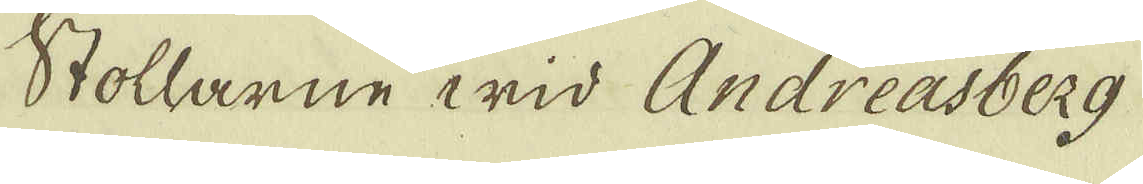Stollarne wid Andreasberg
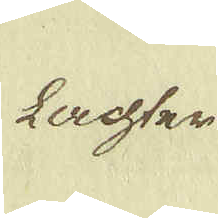Lachter
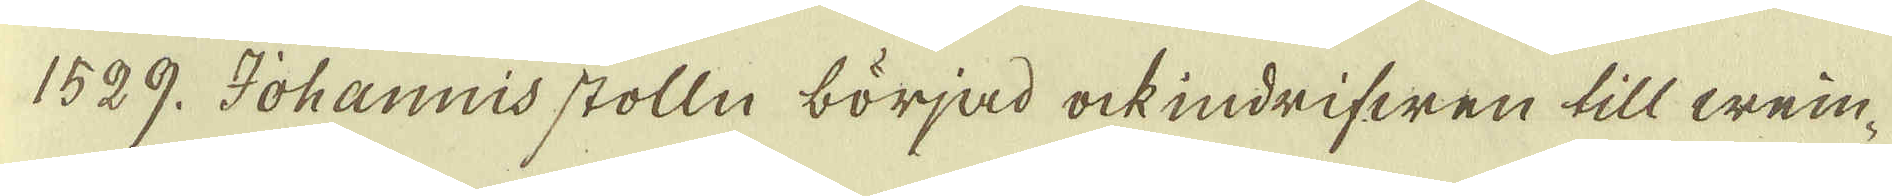1529. Johannis stolln börjad ock indrifwen till wein-
